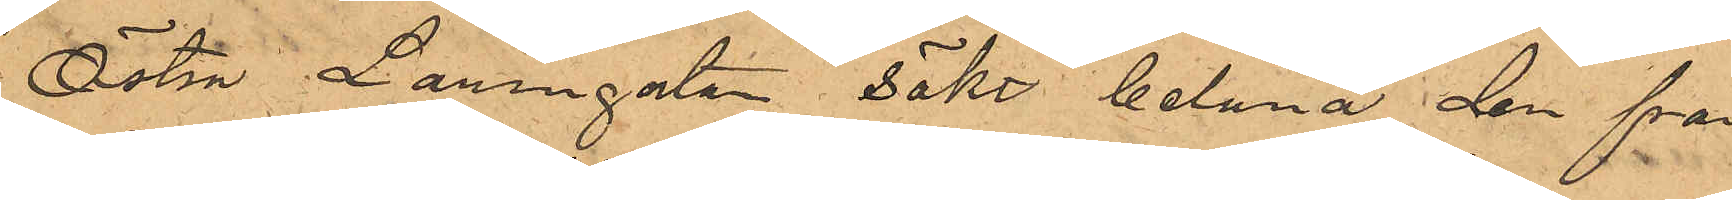Östra Larmgatan sökt belåna den från
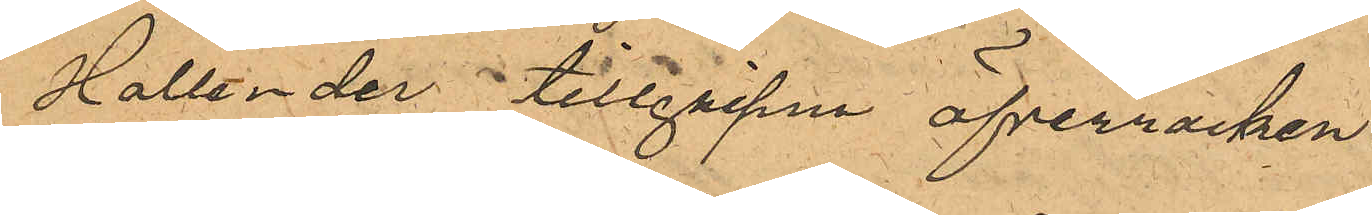Hollender tillgripne öfverrocken.
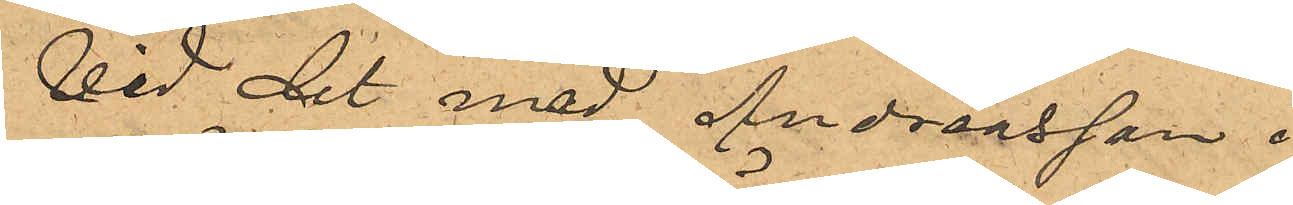Vid det med Andreasson i
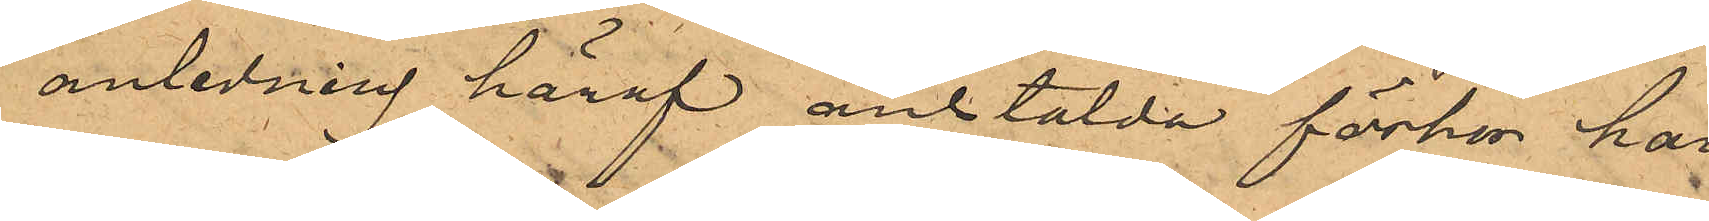anledning häraf anstälda förhör har
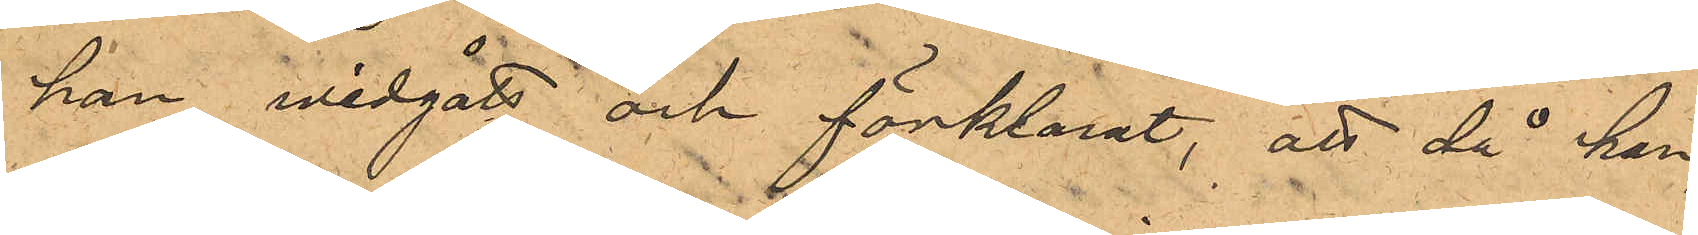han widgått och förklarat, att då han,
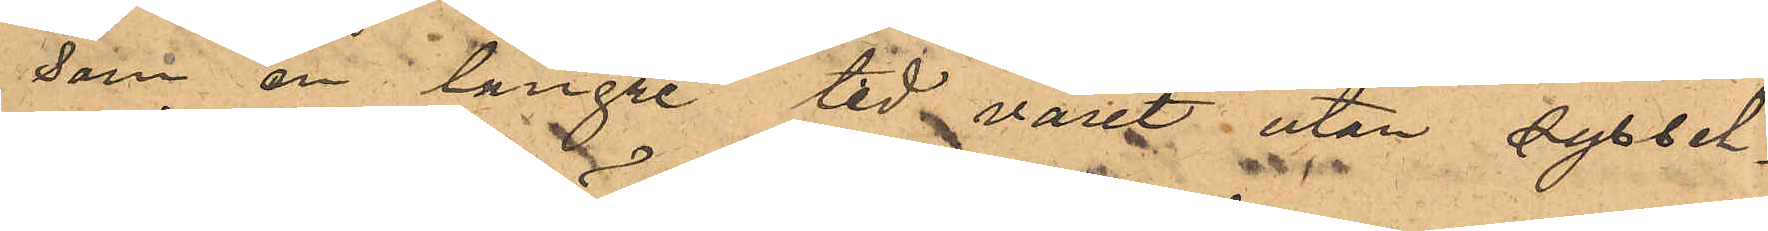som en längre tid varit utan syssel¬
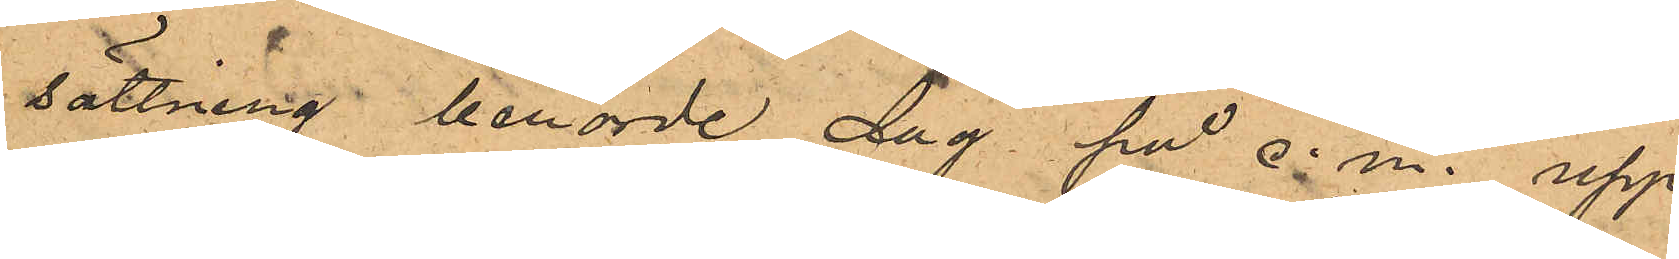sättning berörde dag på e. m. upp¬
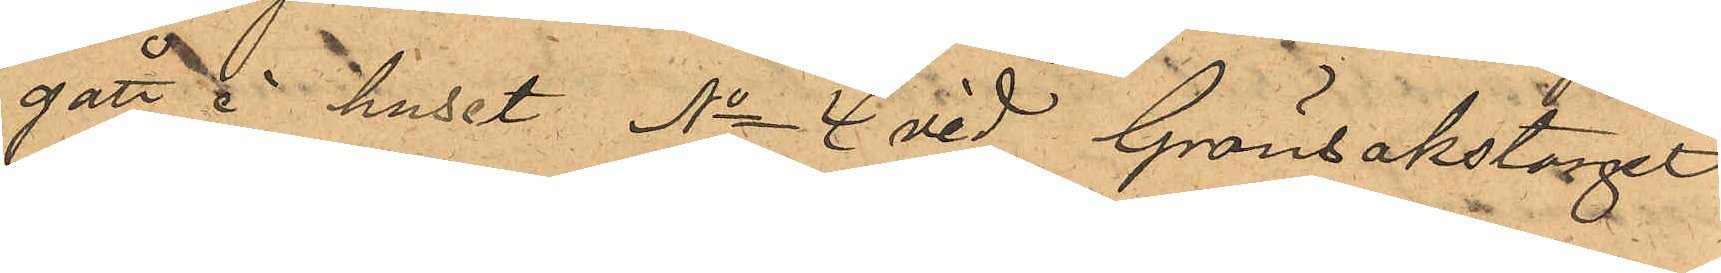gått i huset No 4 vid Grönsakstorget
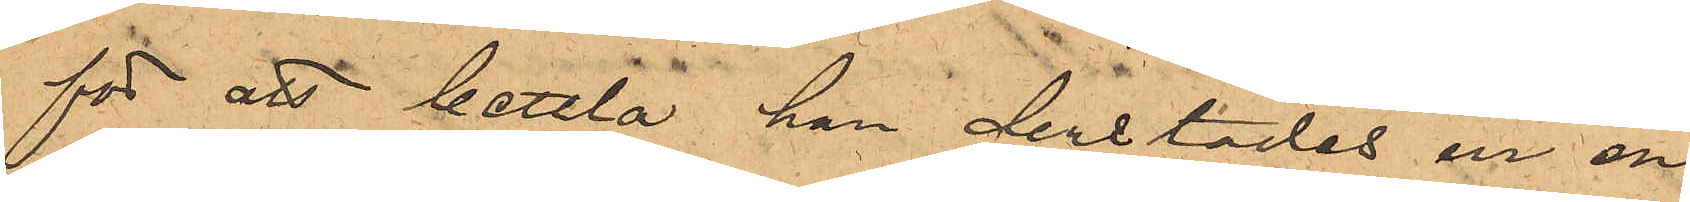för att bettla han derstädes ur en
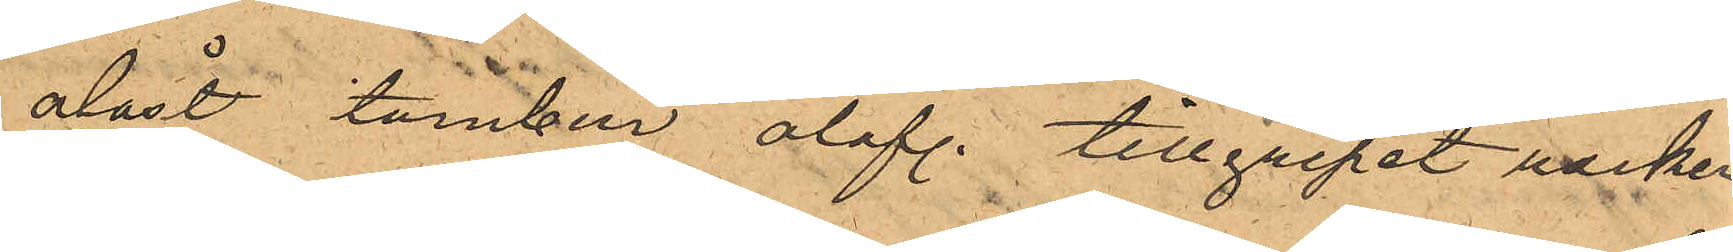olåst tambur olof. tillgripit rocken
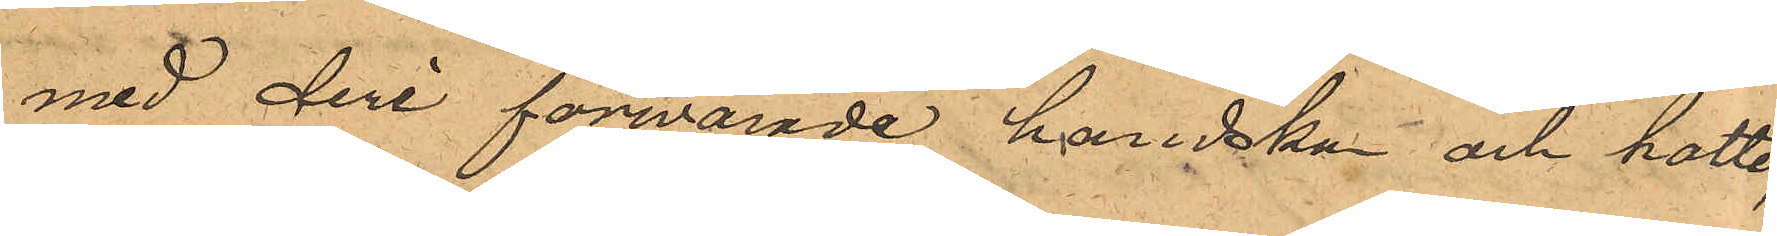med deri förvarade handskar och hatten,
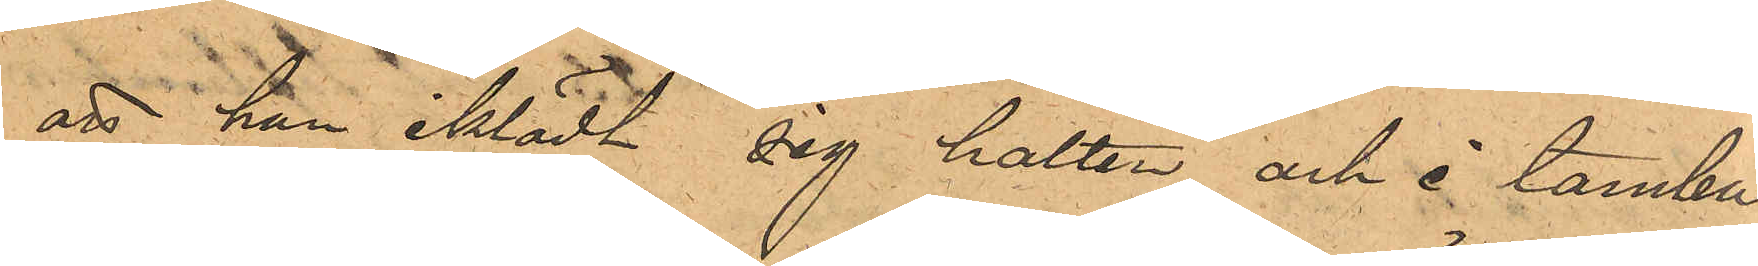att han iklädt sig hatten och i tambu¬
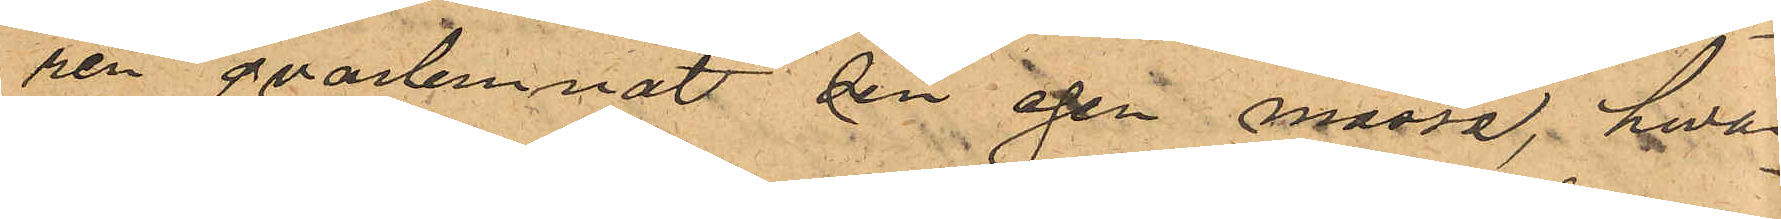ren qvarlemnat sin egen mössa, hwar¬
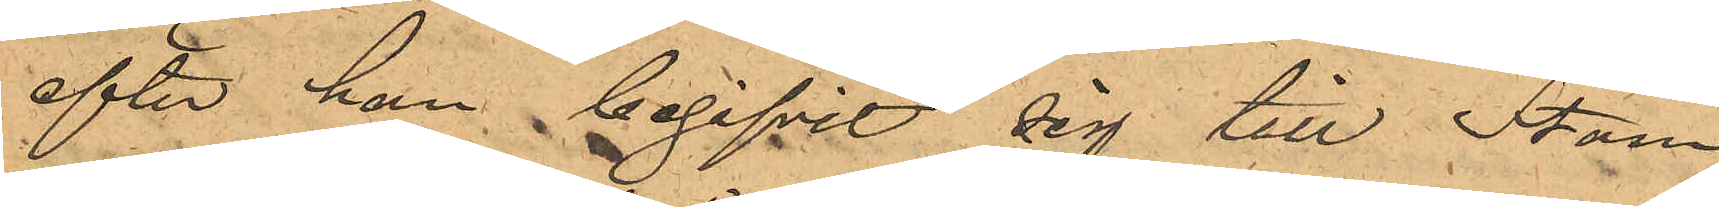efter han begifvit sig till Stam¬
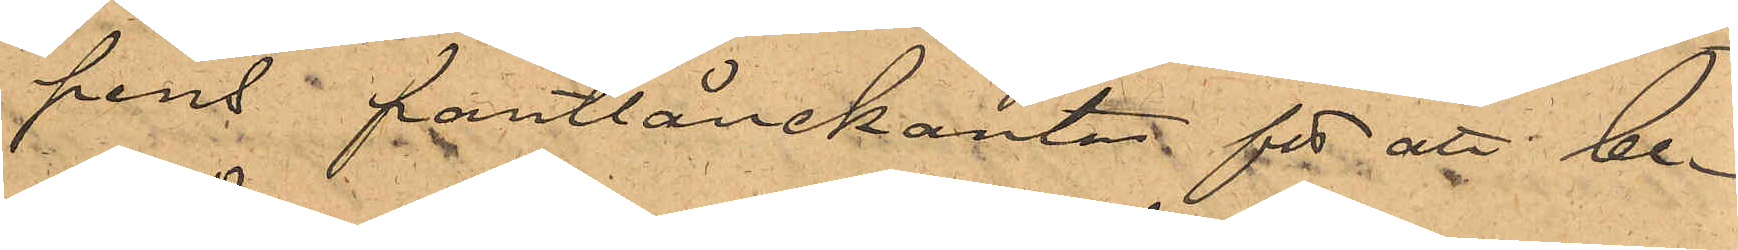pens pantlånekontor för att be¬
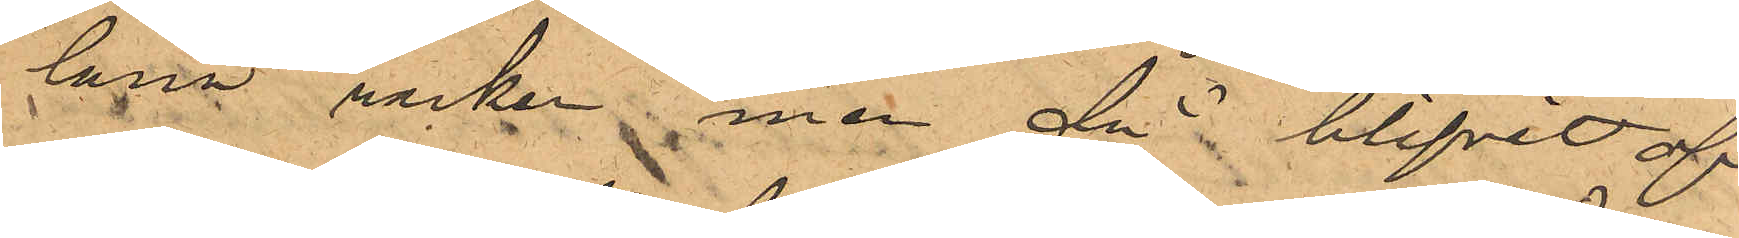låna rocken men då blifvit af
